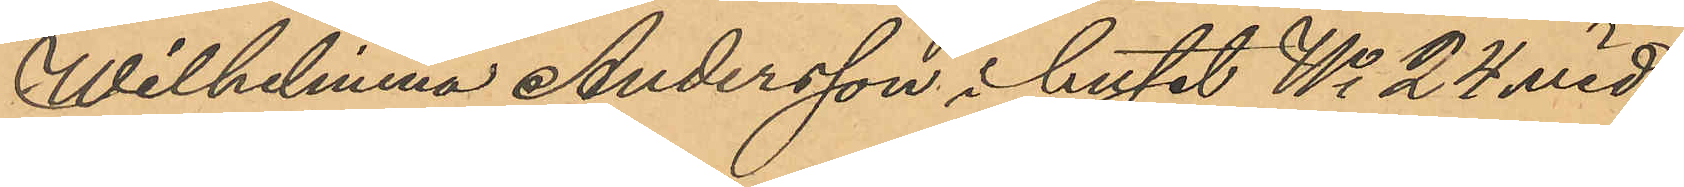Wilhelmina Andersson i huset No 24 vid
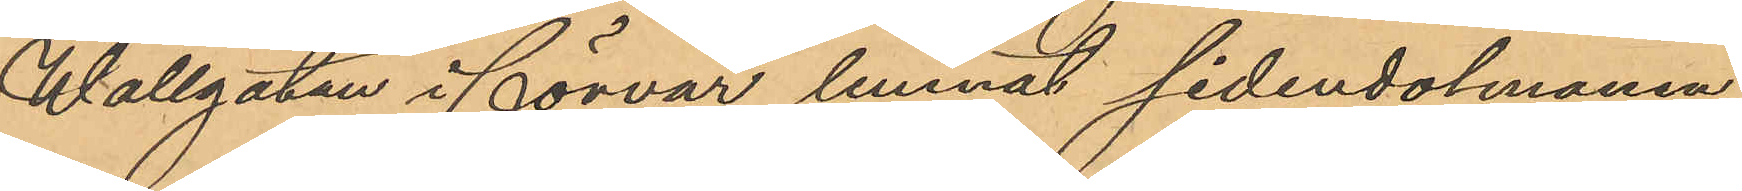Wallgatan i förvar lemnat sidendolmonen;
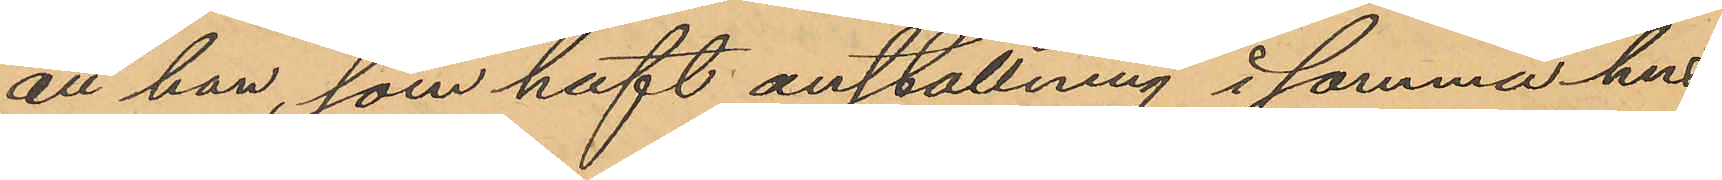att han, som haft anställning i samma hus
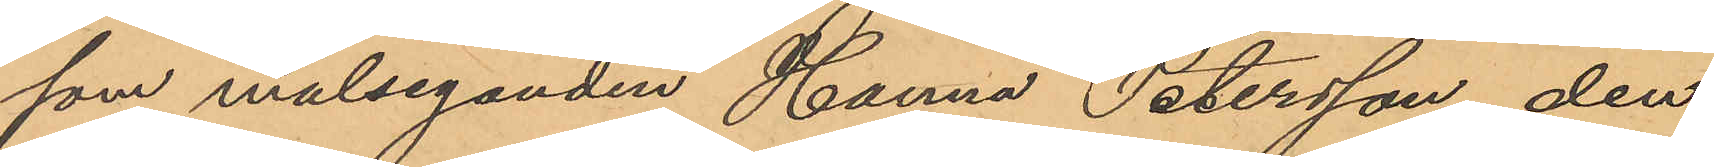som målseganden, Hanna Petersson, den
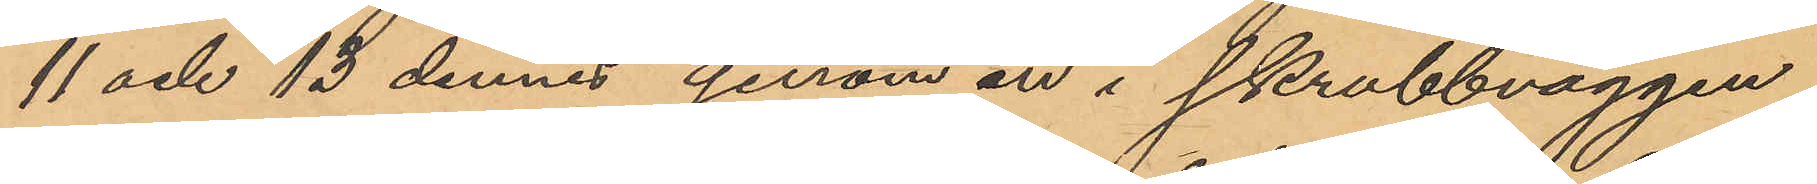11 och 13 dennes genom en i skrubbväggen
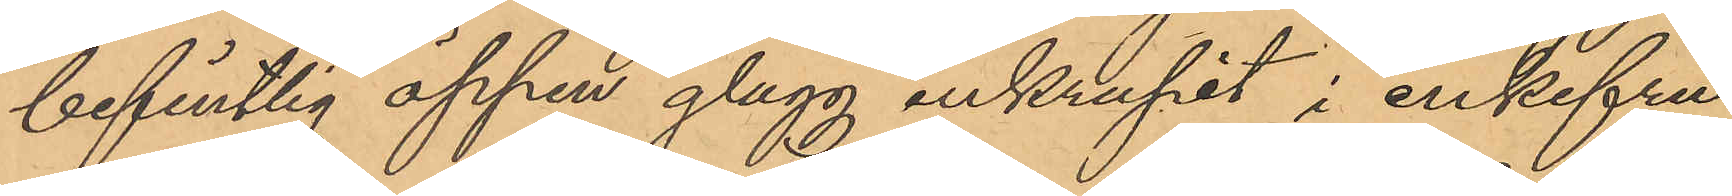befintlig öppen glugg inkrupit i enkefru
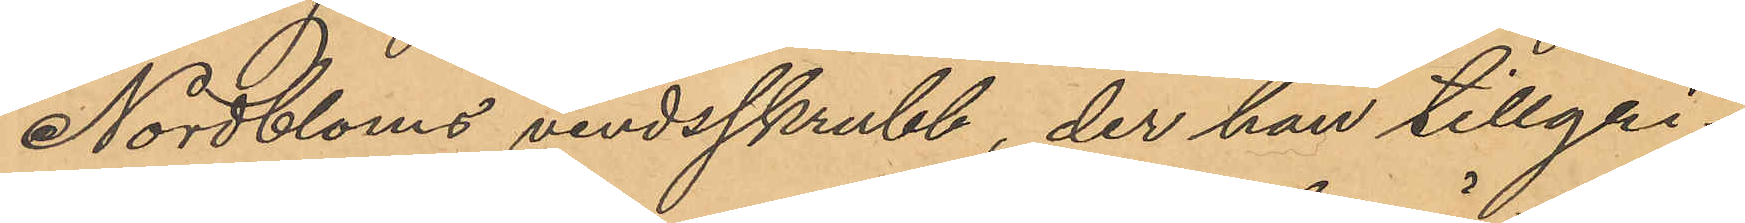Nordbloms vindsskrubb, der han tillgri¬
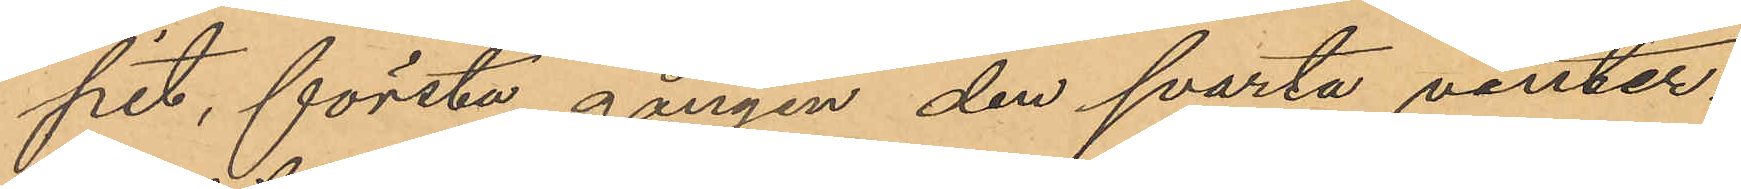pit, första gången den svarta vinter¬
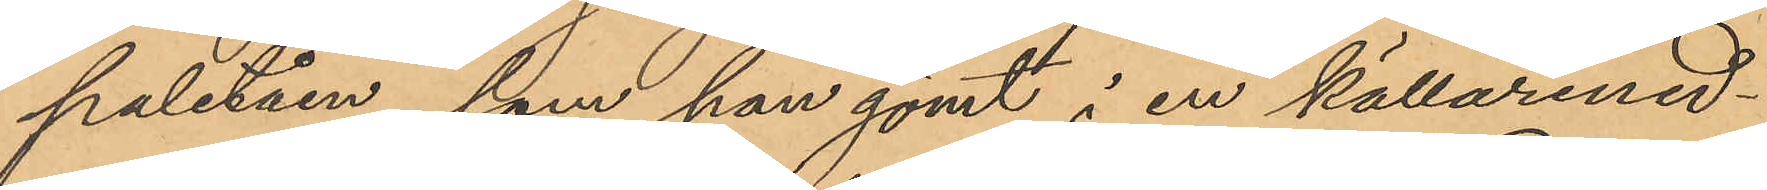paletåen, som han gömt i en källarned¬
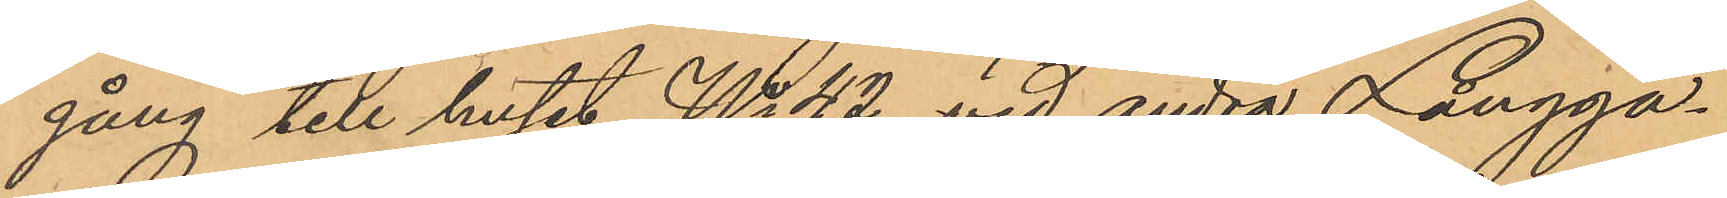gång till huset No 42 vid andra Långga¬
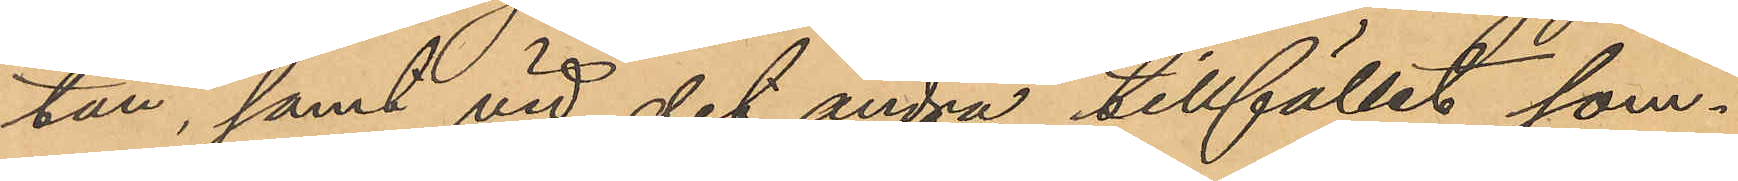tan, samt vid det andra tillfället som¬
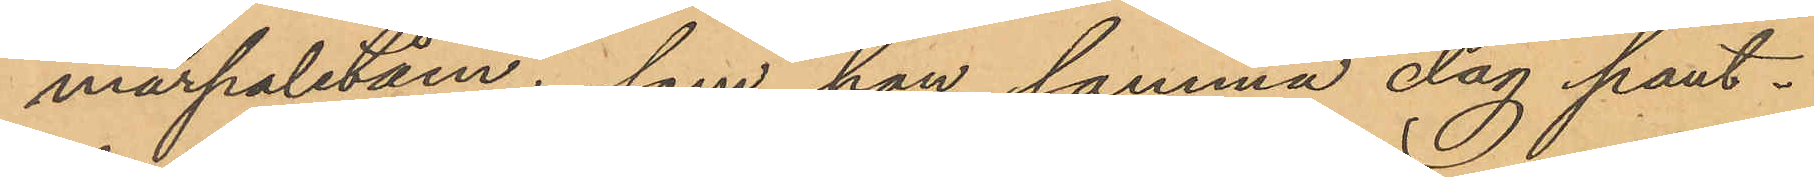marpaletån, som han samma dag pant¬
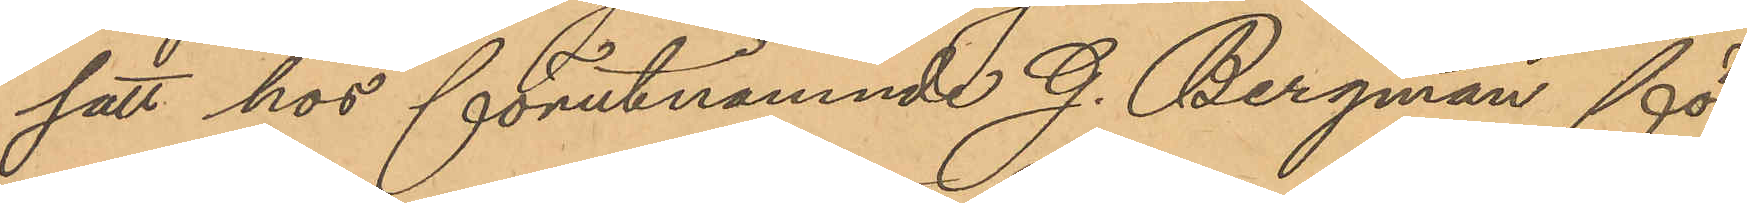satt hos förutnämnde G. Bergman för
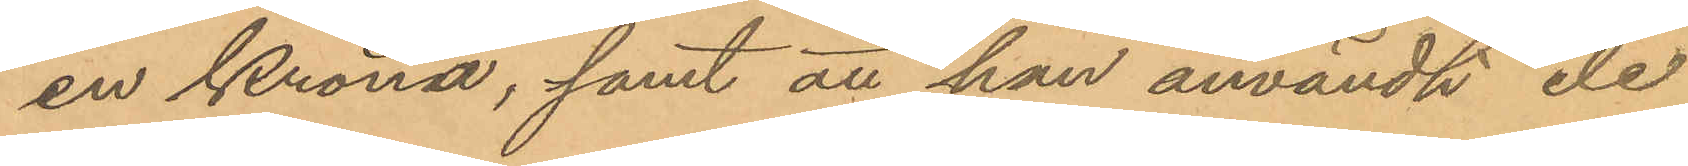en Krona, samt att han användt de
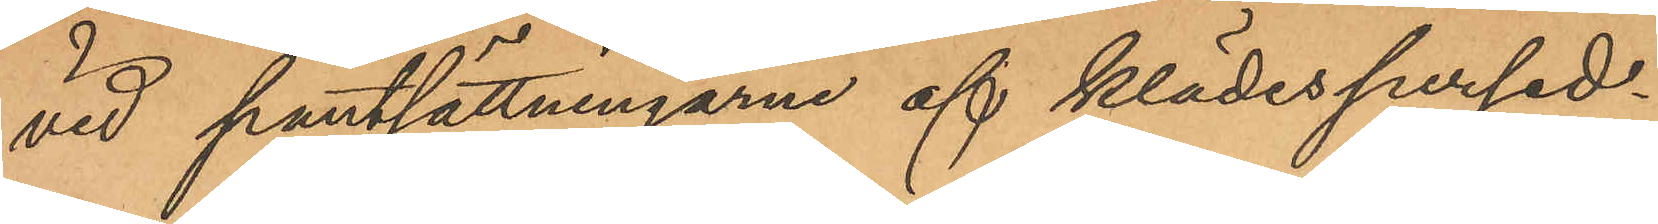vid pantsättningarne af klädespersed¬
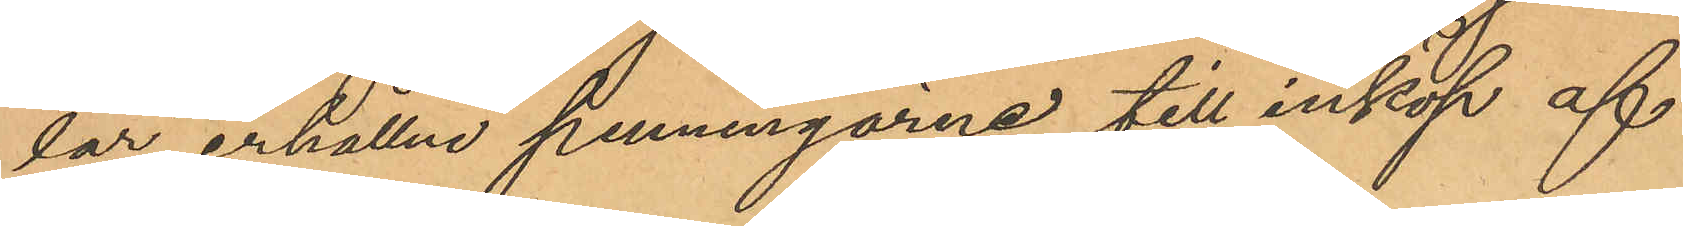lar erhållne penningarne till inköp af
